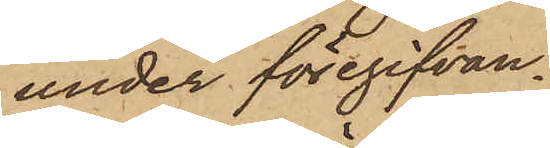under föregifvan¬
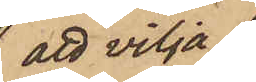att vilja
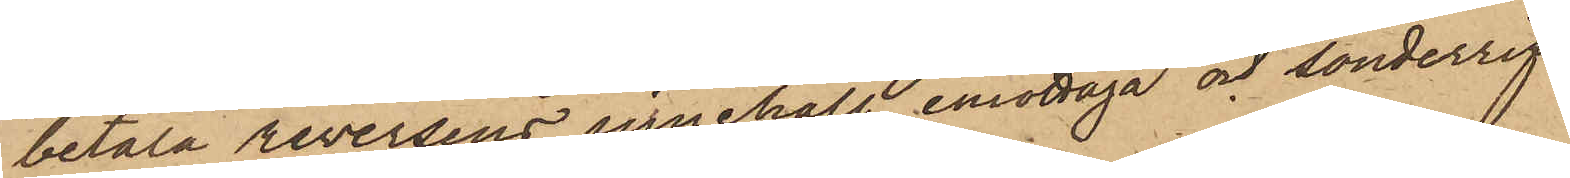betala reversens innehåll, emottaga och sönderrif¬
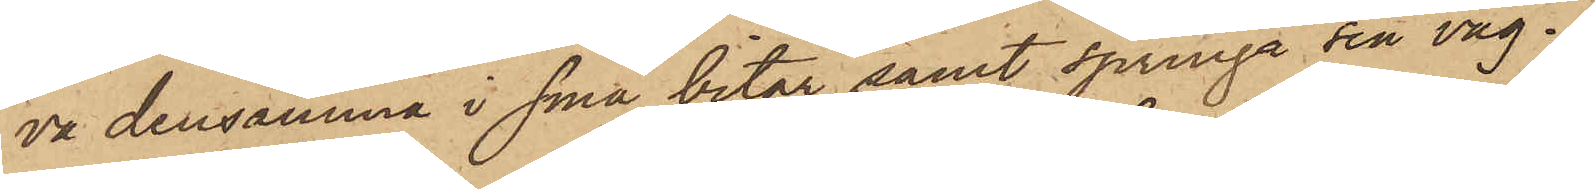va densamma i små bitar samt springa sin väg.
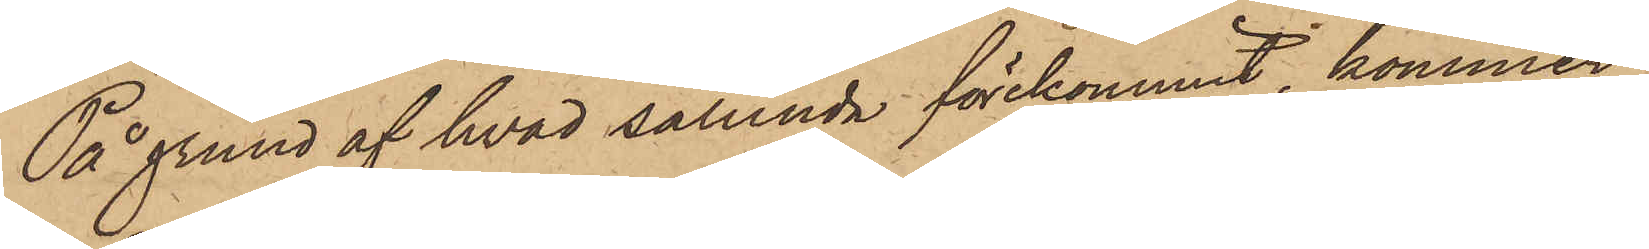På grund af hvad sålunda förekommit, kommer
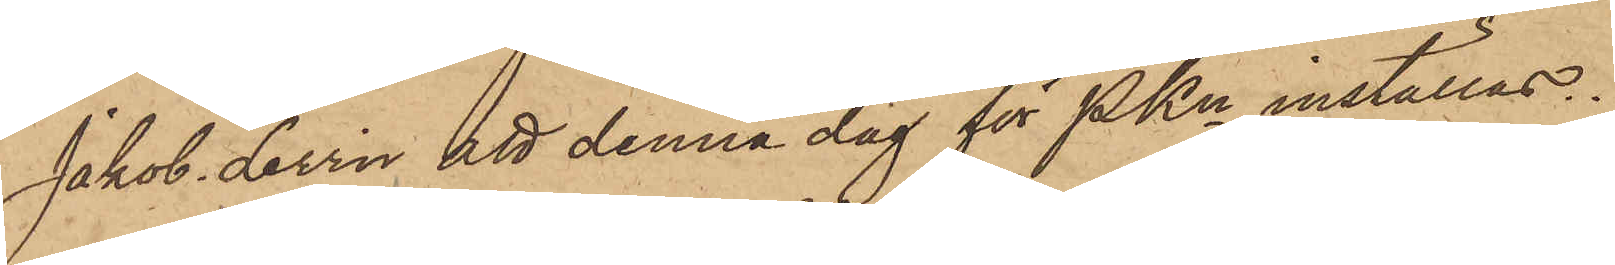Jakob Levin att denna dag för PKn inställas.
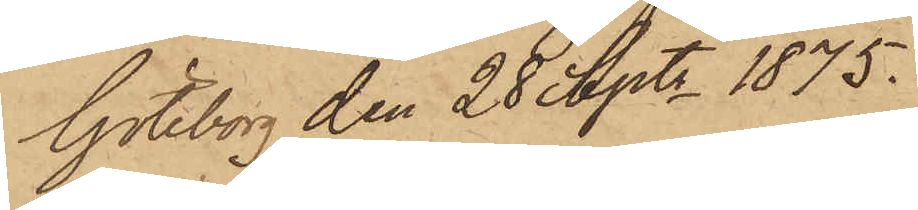Göteborg den 28 Septr 1875.
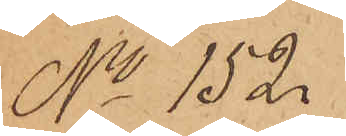No 152.
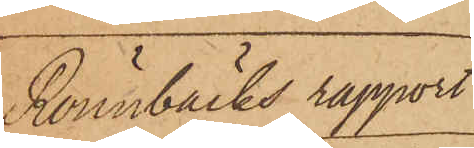Rönnbäcks rapport
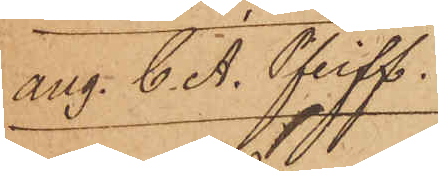ang. C. A. Pfeiff.
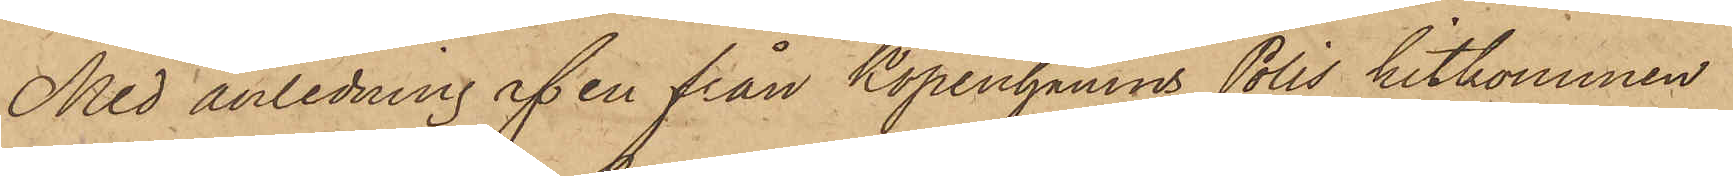Med anledning af en från Köpenhamns Polis hitkommen
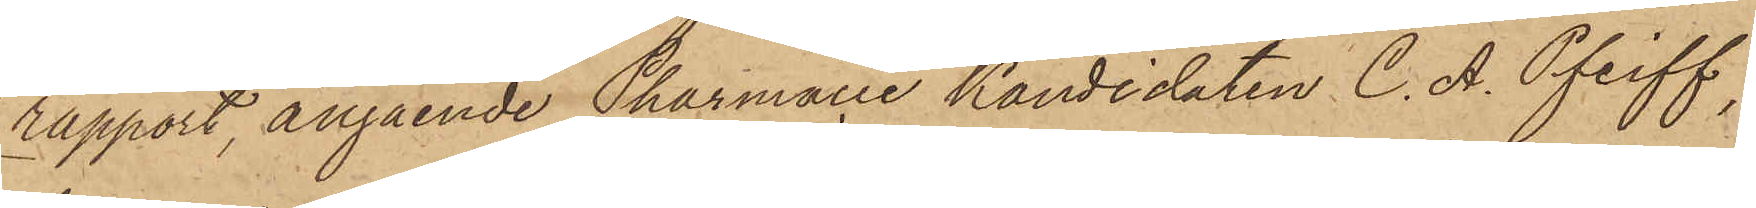rapport, angående Pharmacie Kandidaten C. A. Pfeiff,
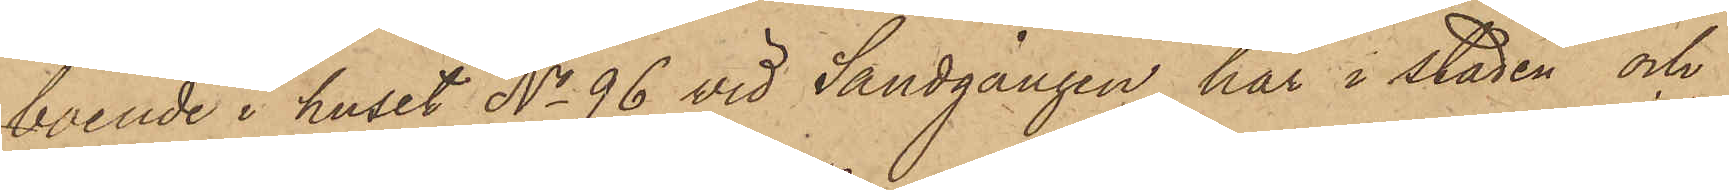boende i huset No 96 vid Sandgången här i staden och
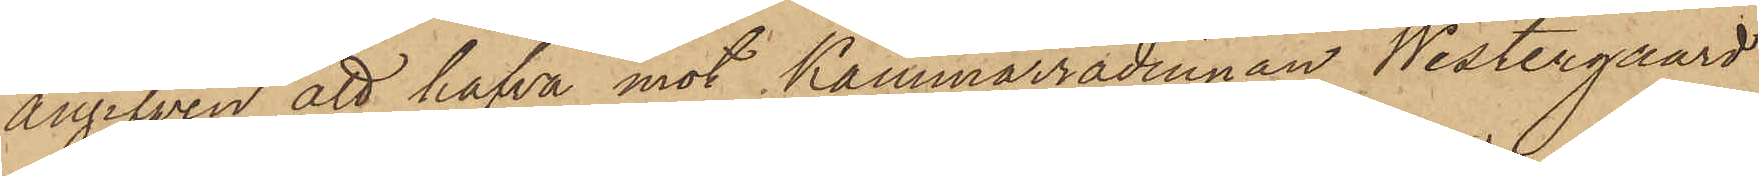angifven att hafva mot Kammarrådinnan Westergaard
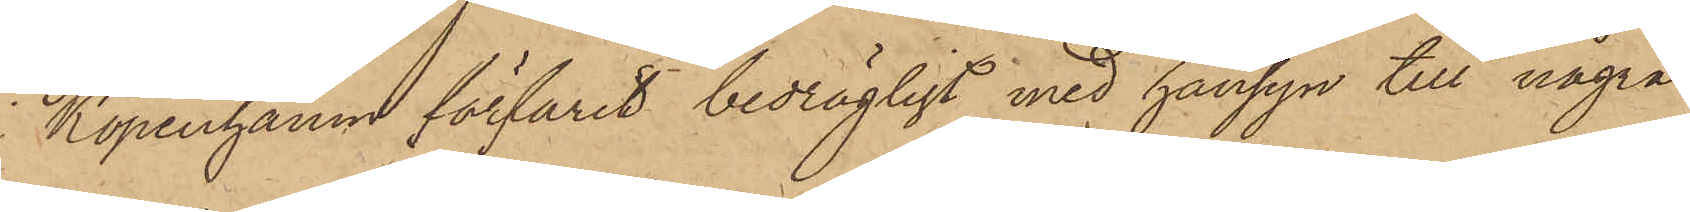Köpenhamn förfarit bedrägligt med hänsyn till några
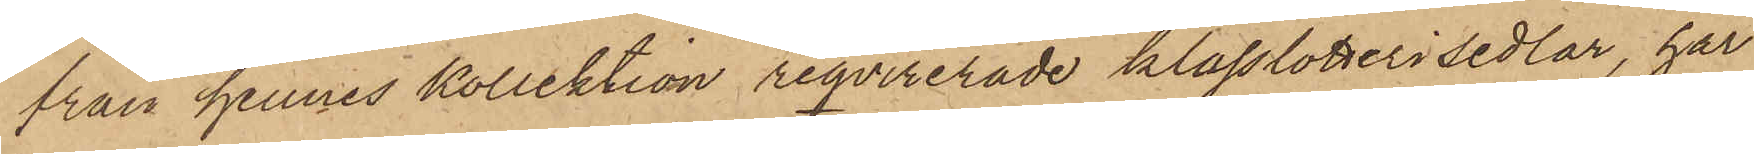från hennes kollektion reqvirerade klasslotterisedlar, har
